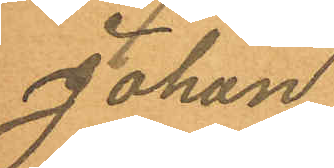Johan
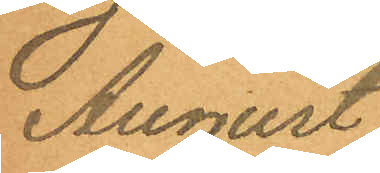August
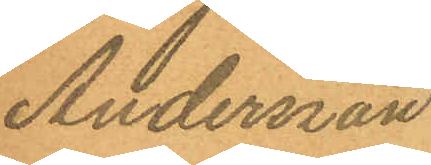Andersson
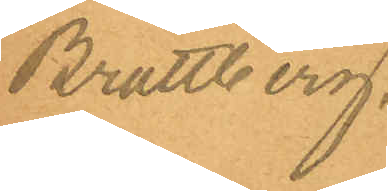Brattberg.
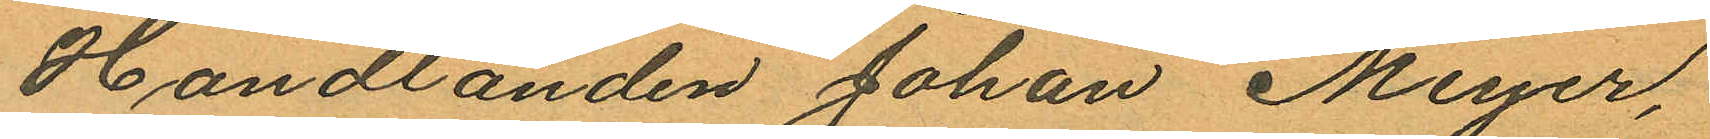Handlanden Johan Meyer,
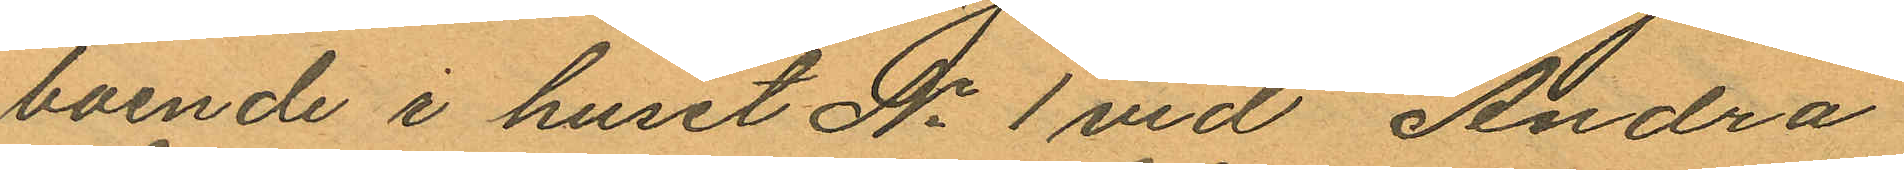boende i huset No 1 vid Andra
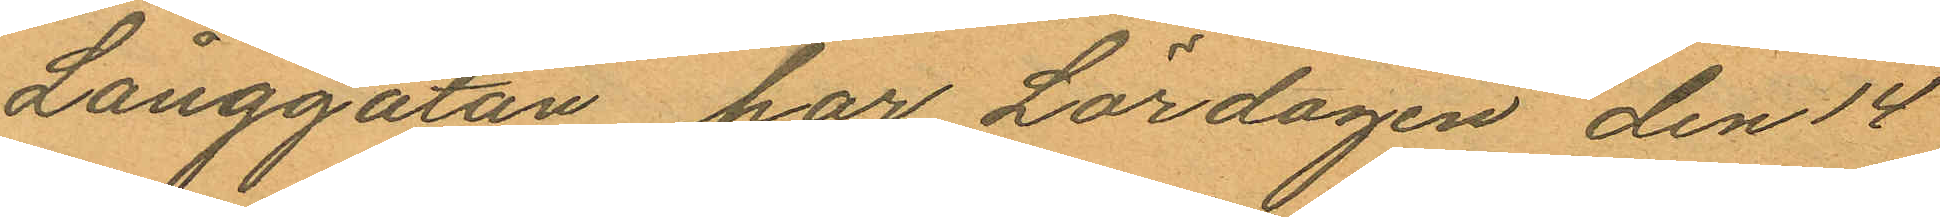Långgatan, har Lördagen den 14
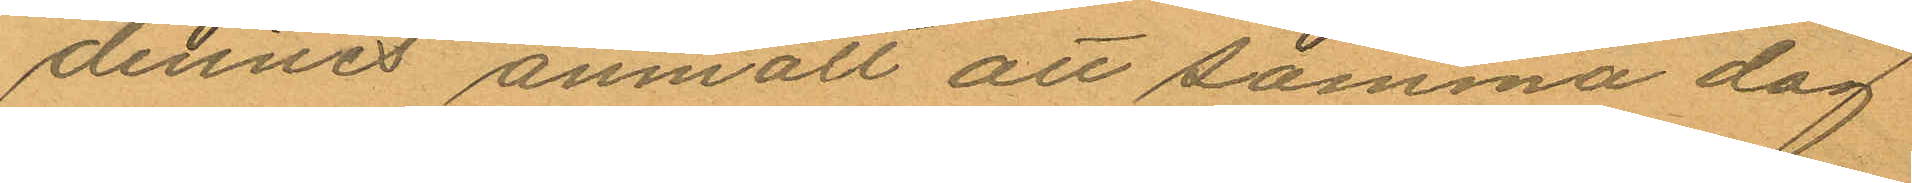dennes anmält att samma dag
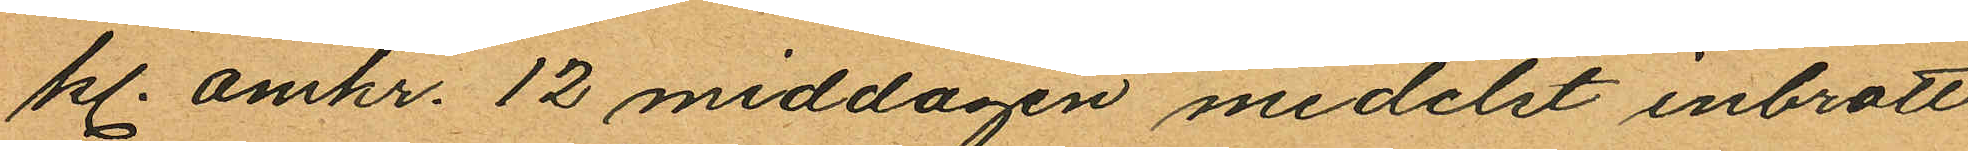kl. omkr. 12 middagen medelst inbrott
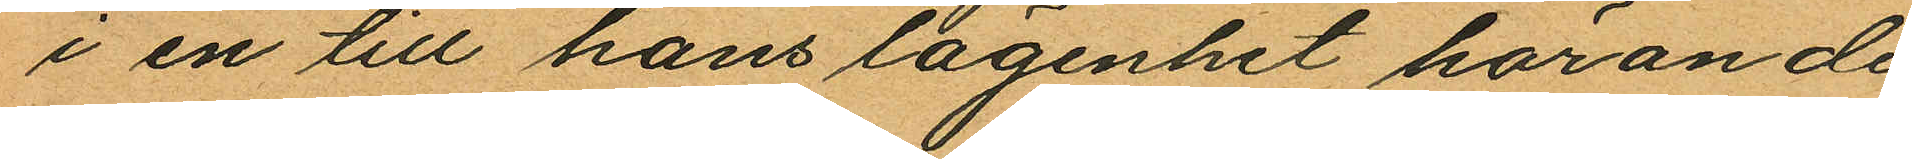i en till hans lägenhet hörande
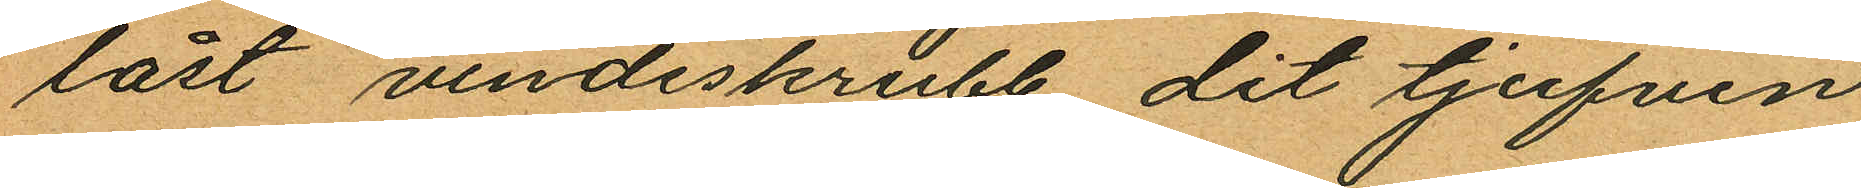låst vindsskrubb, dit tjufven
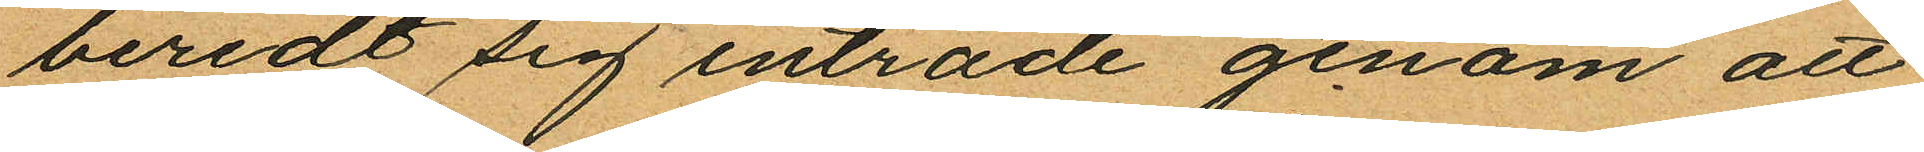beredt sig inträde genom att
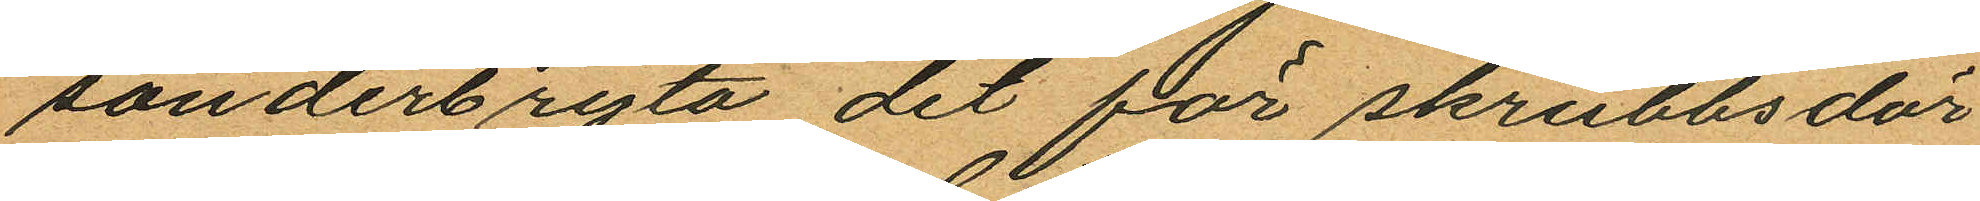sönderbryta det för skrubbsdör¬
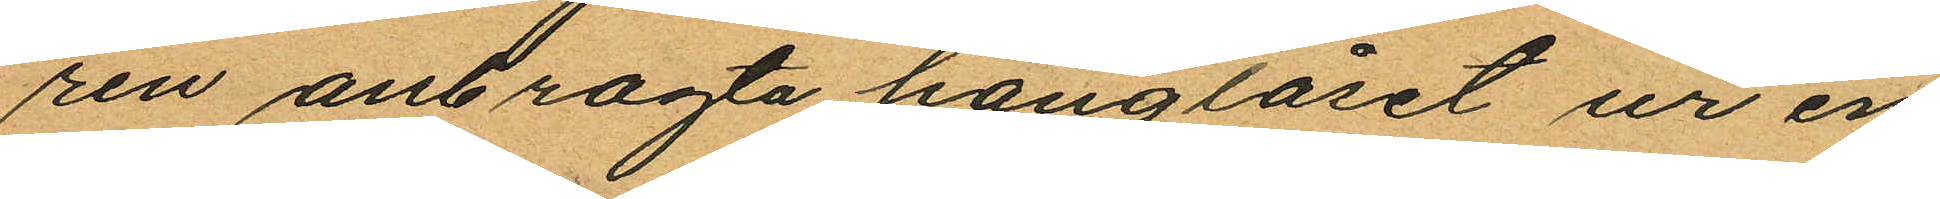ren anbragta hänglåset ur en
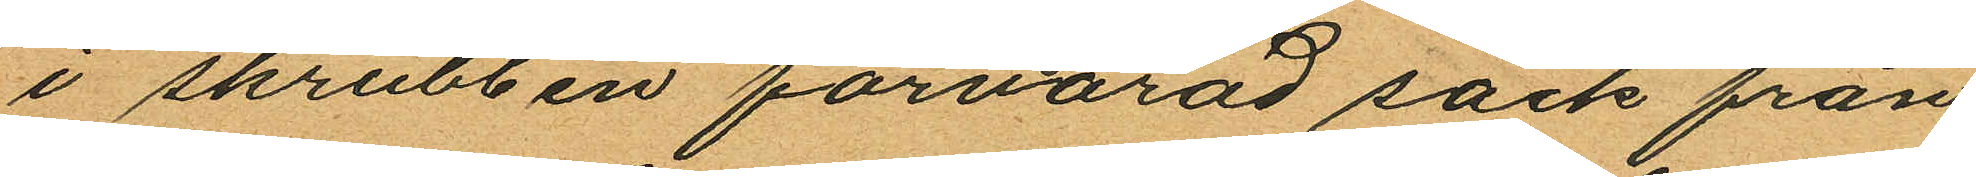i skrubben förvarad säck från
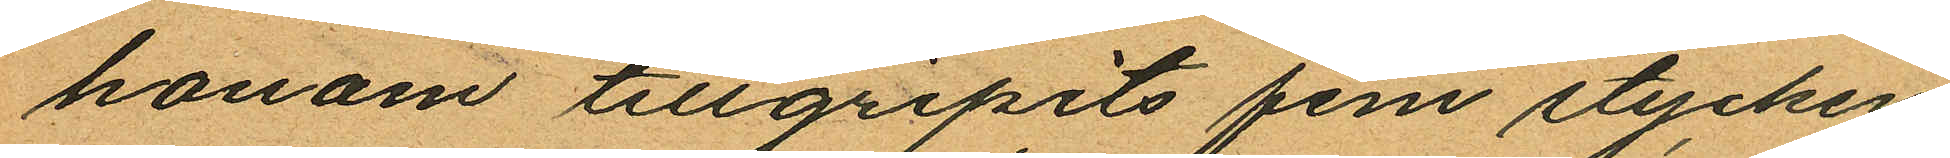honom tillgripits fem stycken
